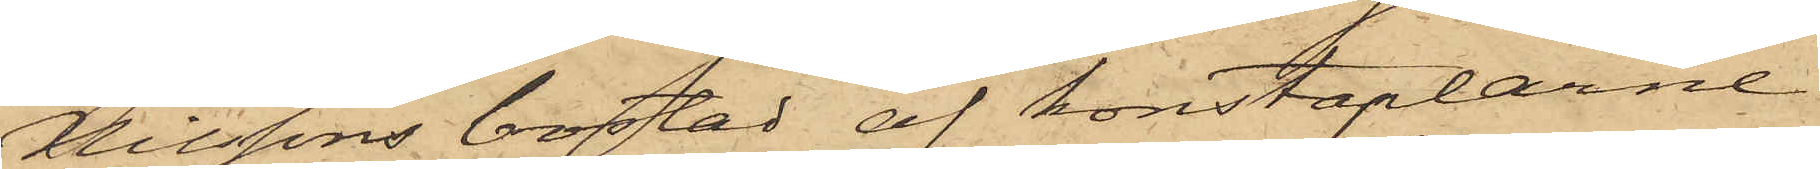Nilssons bostad af konstaplarne
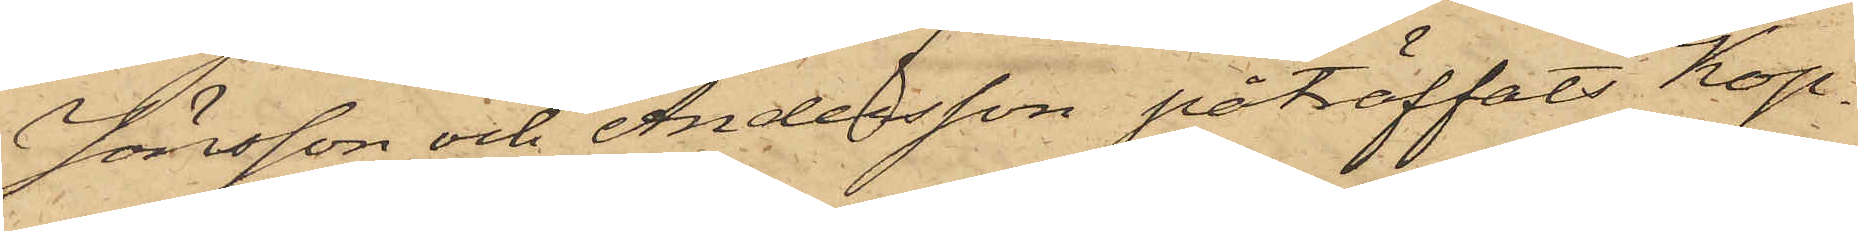Jönsson och Andersson påträffats Kop¬
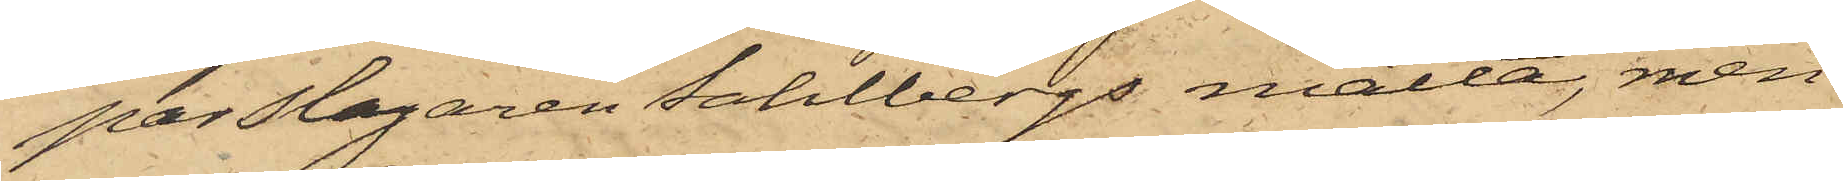parslagaren Dahlbergs matta, men
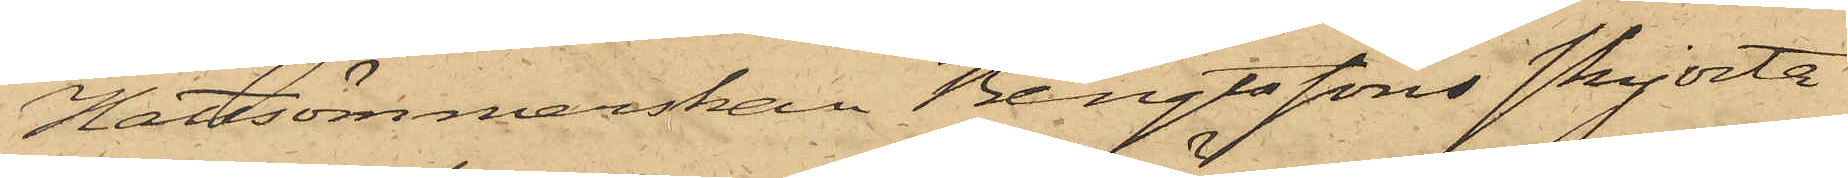Hattsömmerskan Bengtssons skjorta
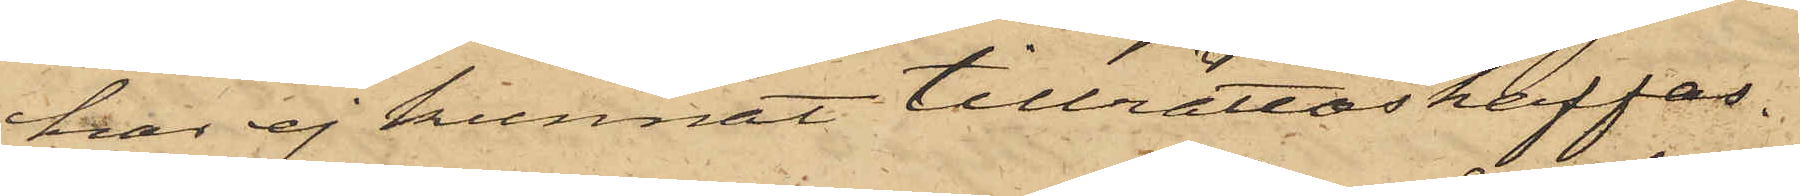har ej kunnat tillrättaskaffas.
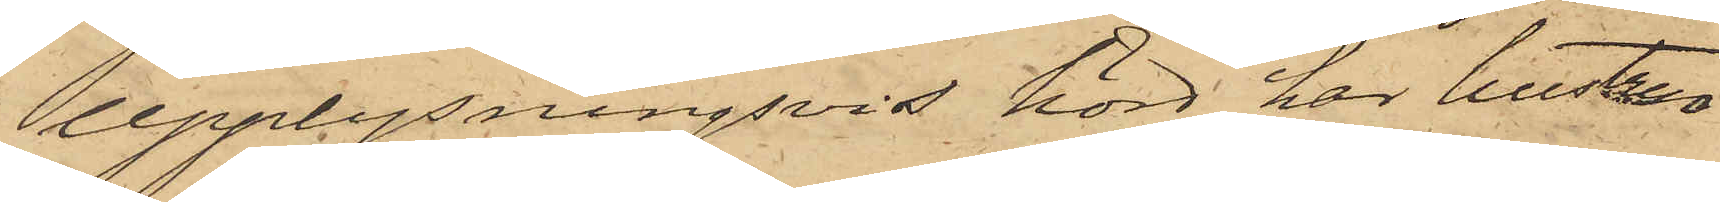Upplysningsvis hörd har hustrun
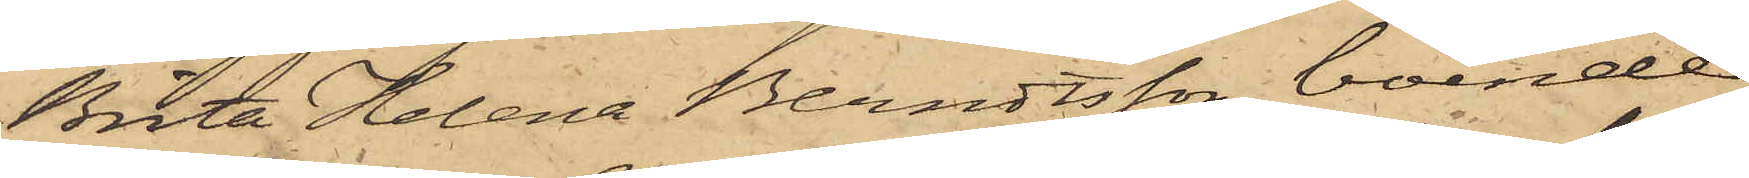Brita Helena Berndtsson, boende
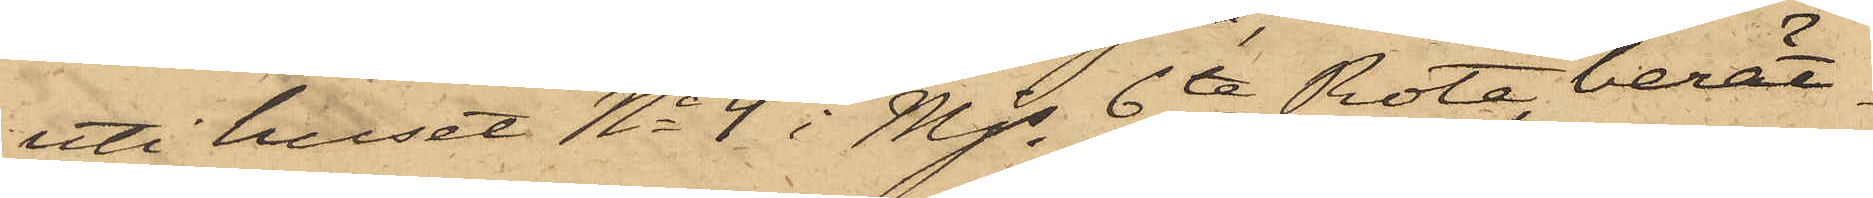uti huset No 4 i Mjs 6te Rote, berät¬
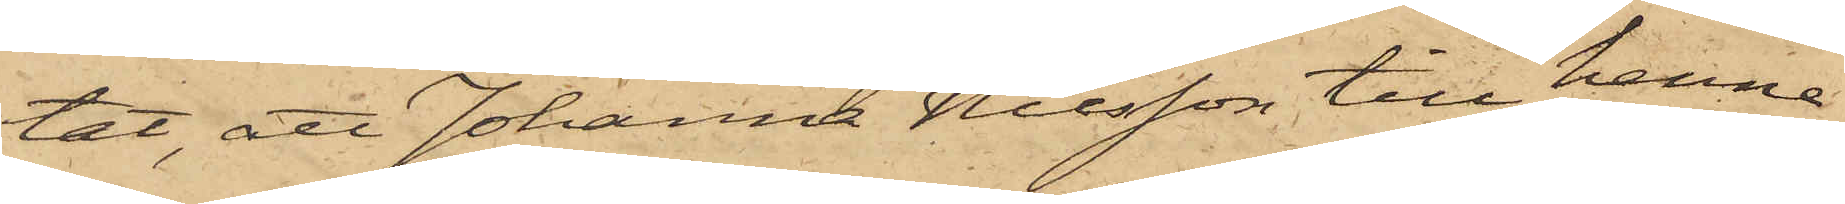tat, att Johanna Nilsson till henne
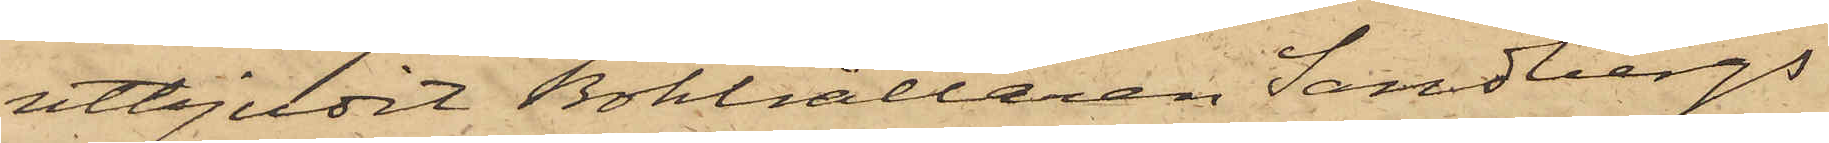utbjudit Bokhållaren Sandbergs
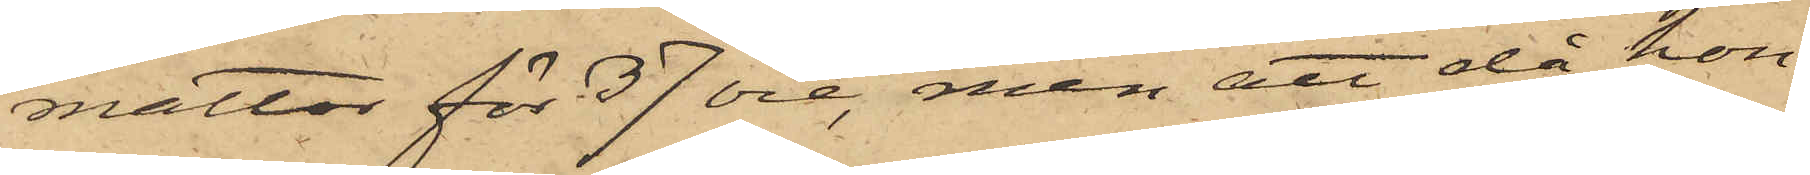mattor för 37 öre, men att då hon
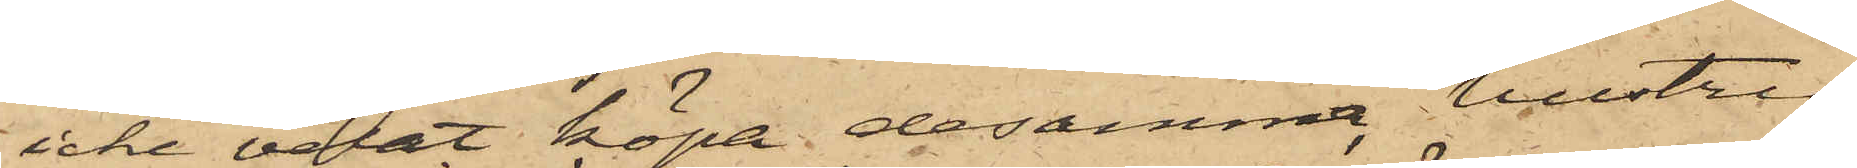icke velat köpa desamma, hustru
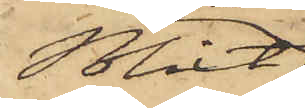Blixt,
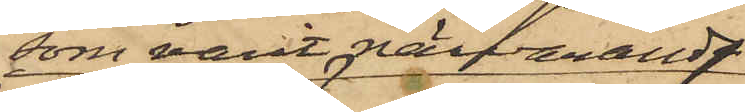som varit närvarande
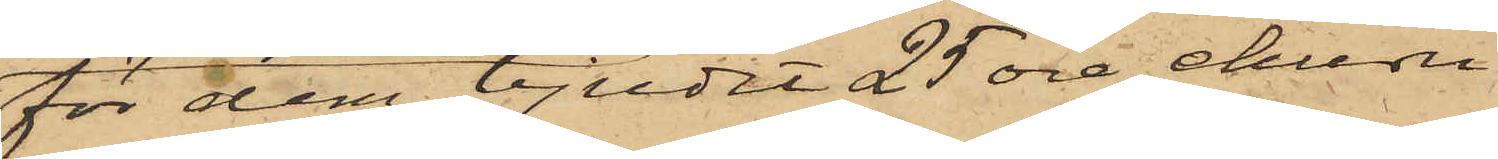för dem bjudit 25 öre, ehuru
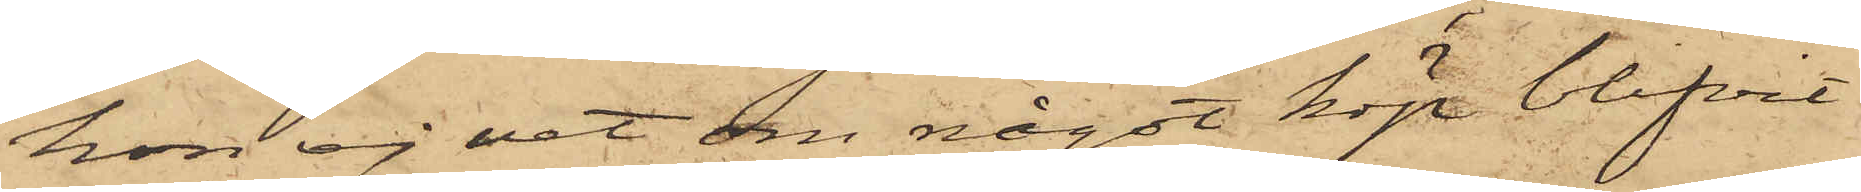hon ej vet om något köp blifvit
